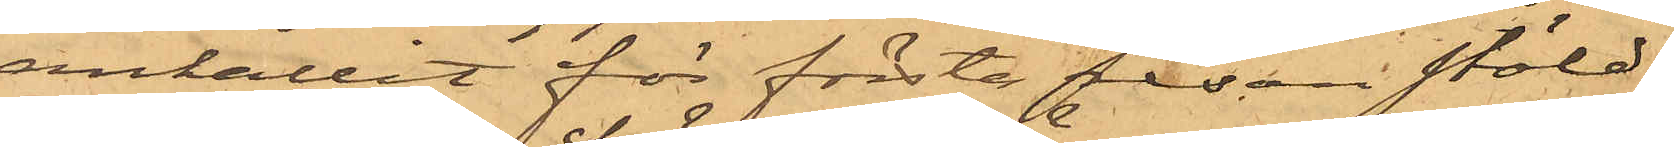anhållit för första resan stöld
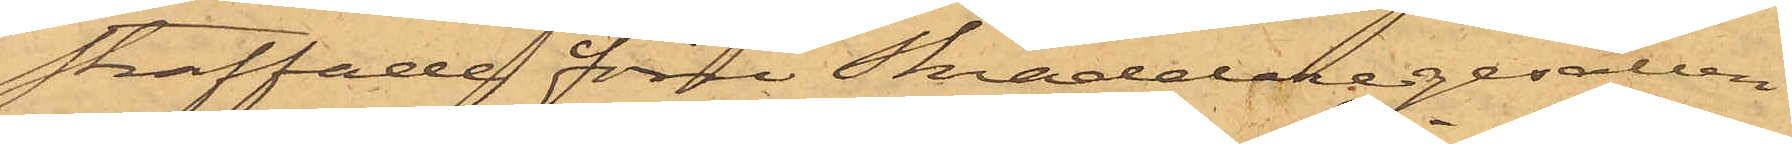straffade förre Skräddaregesällen
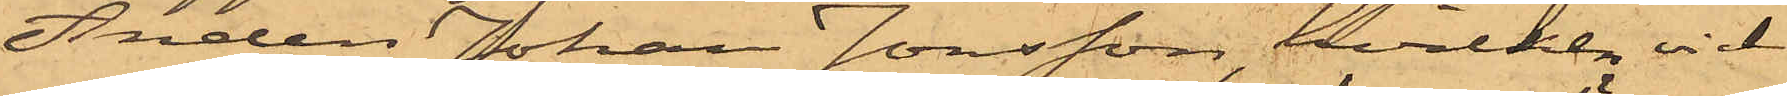Anders Johan Jonsson, hvilken vid
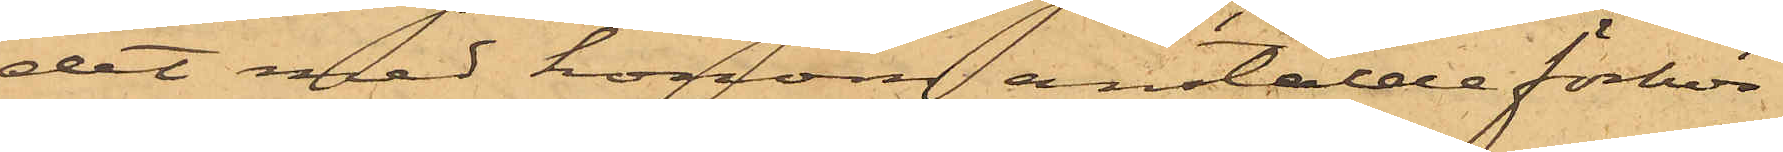det med honom anstälde förhör
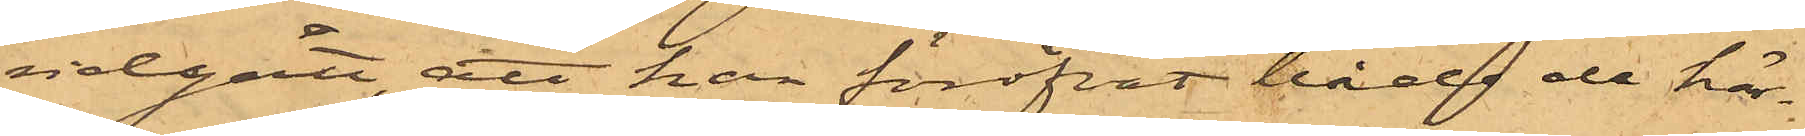vidgått, att han föröfvat både här¬
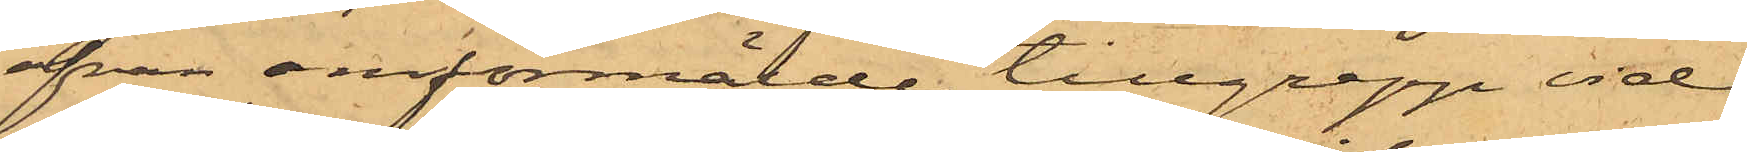ofvan omförmälde tillgrepp vid
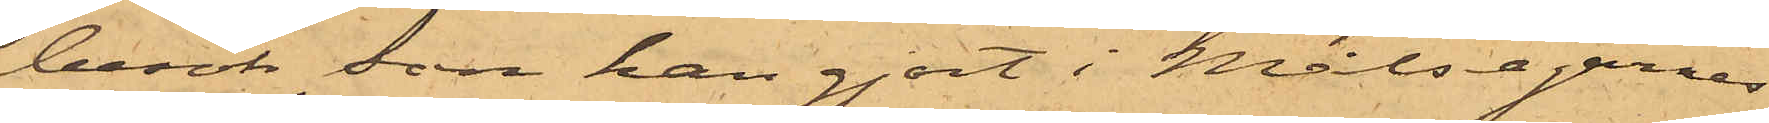besök, som han gjort i Målsegarnes
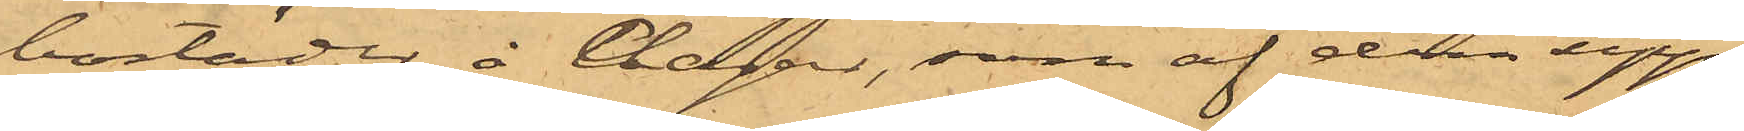bostäder, å dagar, som af dem upp¬
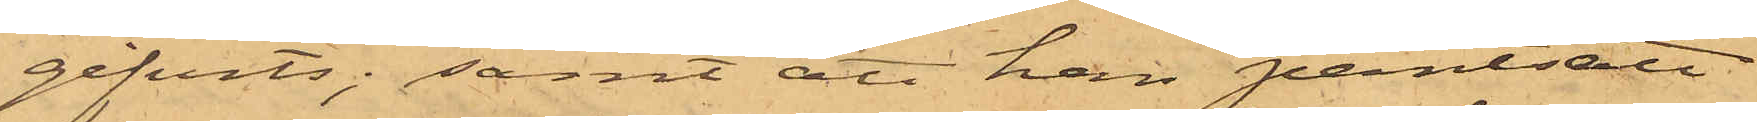gifvits; samt att han pantsatt
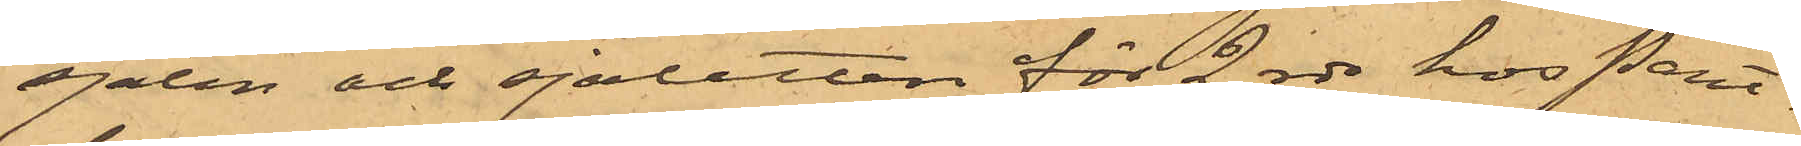sjalen och sjaletten för 2 rdr hos Pant¬
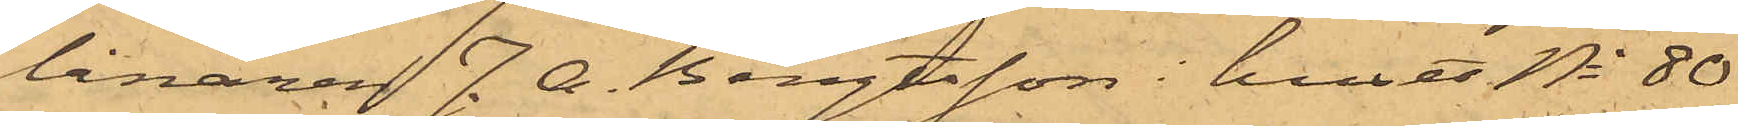lånaren J. A. Bengtsson i huset No 80
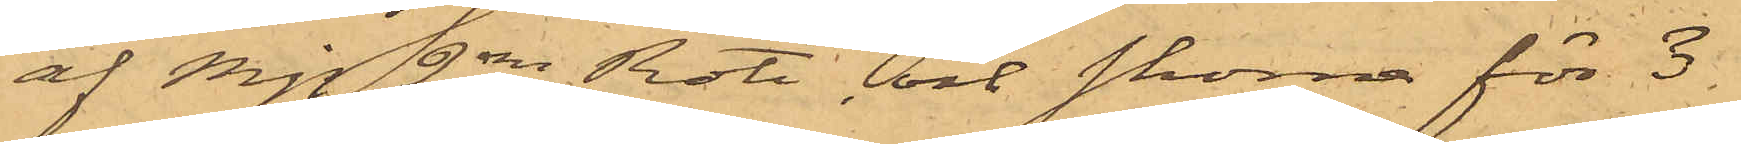af Mjs 2dra Rote, och skorna för 3
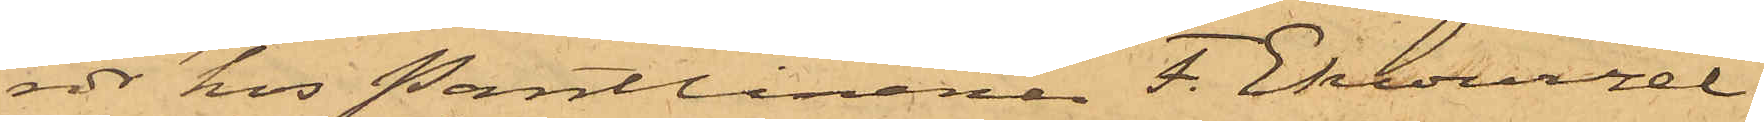rdr hos Pantlånaren F. Ekwurzel
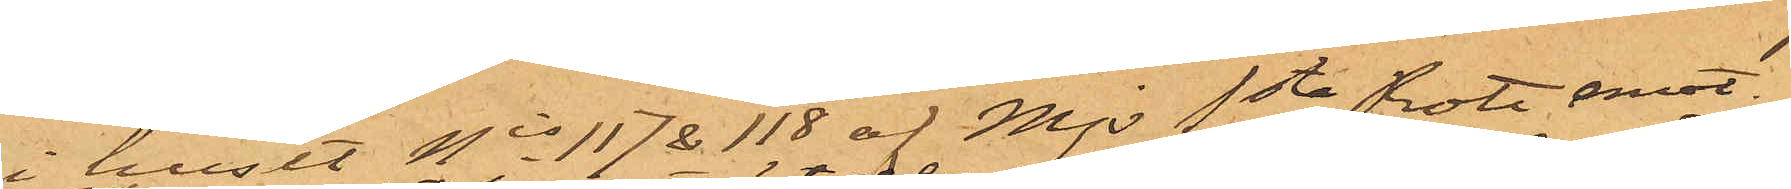i huset Nis 117 & 118 af Mjs 1sta Rote emot
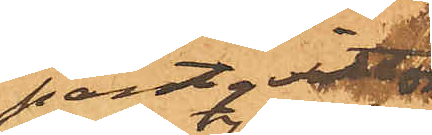pantqvitton,
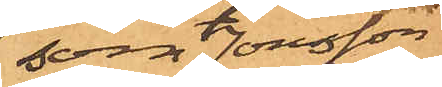som Jonsson
